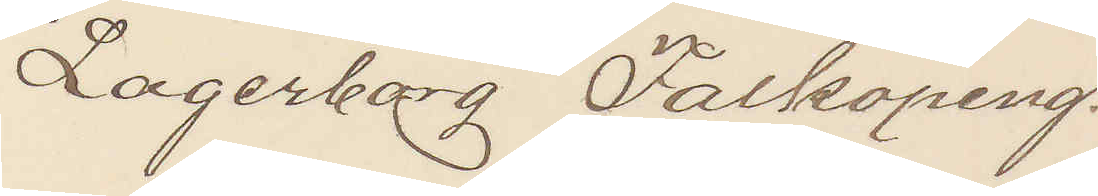Lagerborg Falköping.
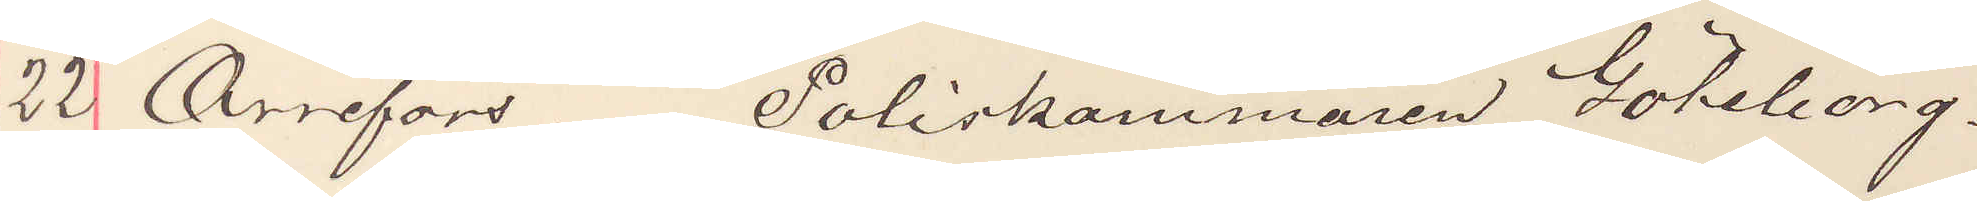22 Orrefors Poliskammaren Göteborg.
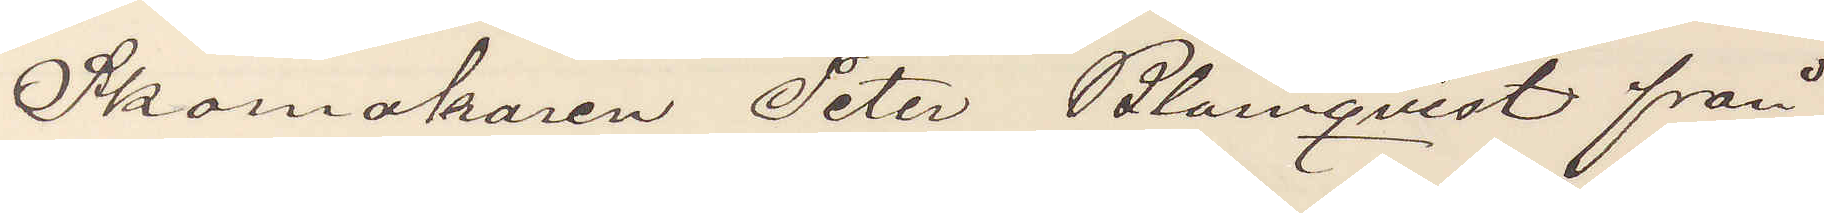Skomakaren Peter Blomqvist från
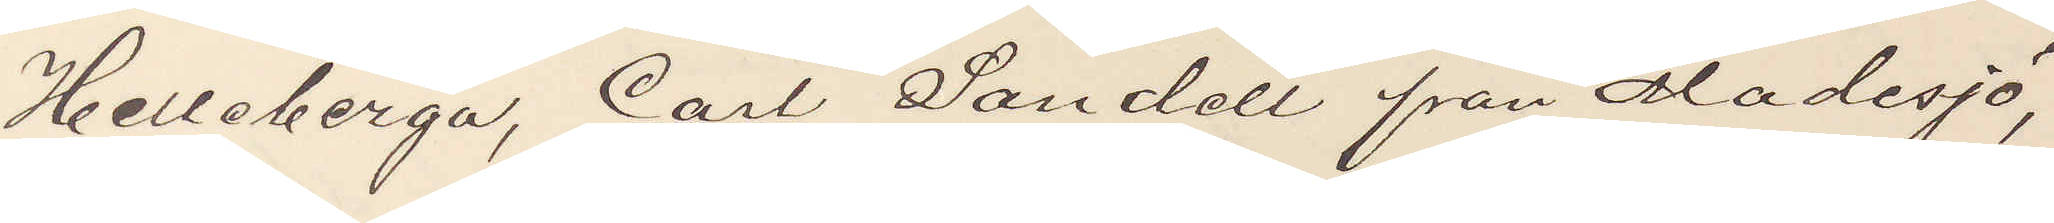Helleberga, Carl Sandell från Madesjö,
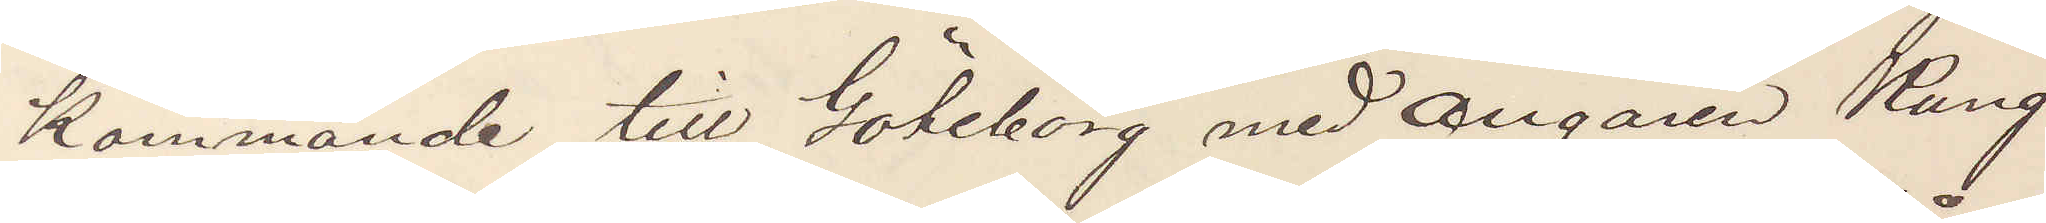Kommande till Göteborg med Ångaren Kung
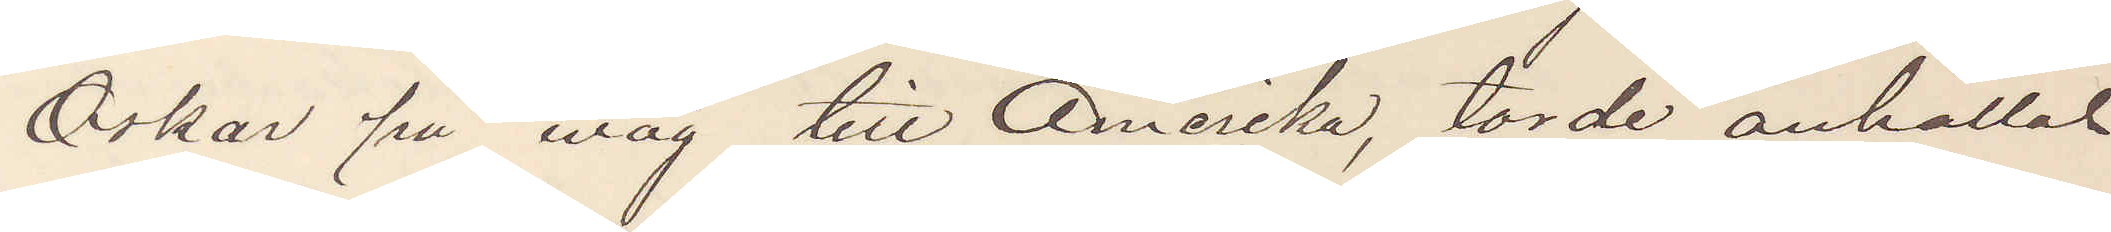Oskar på wäg till Amerika, torde anhållas
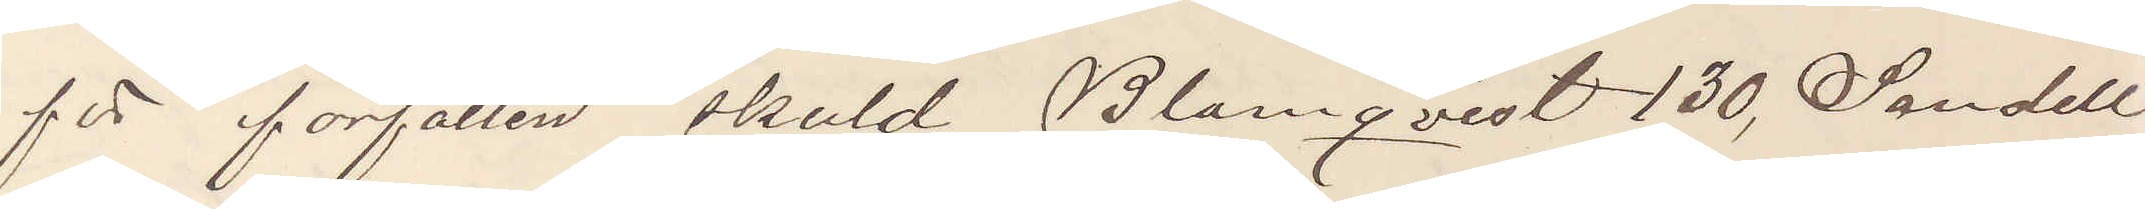för förfallen skuld, Blomqvist 130, Sandell
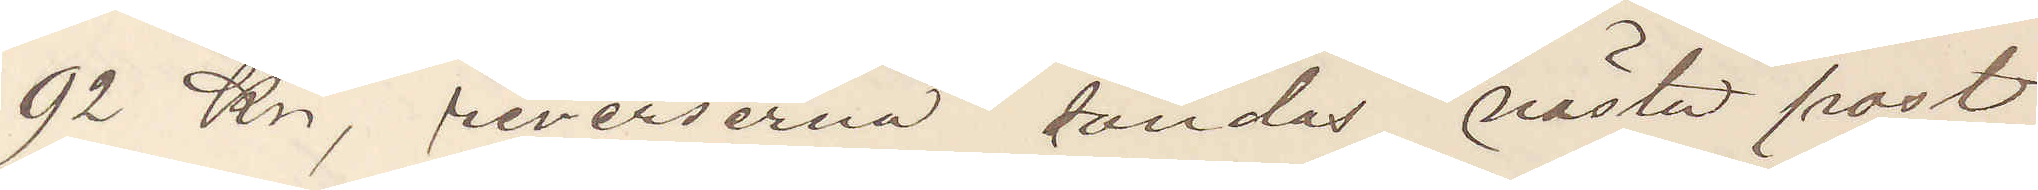92 Kr, reverserna sändas nästa post
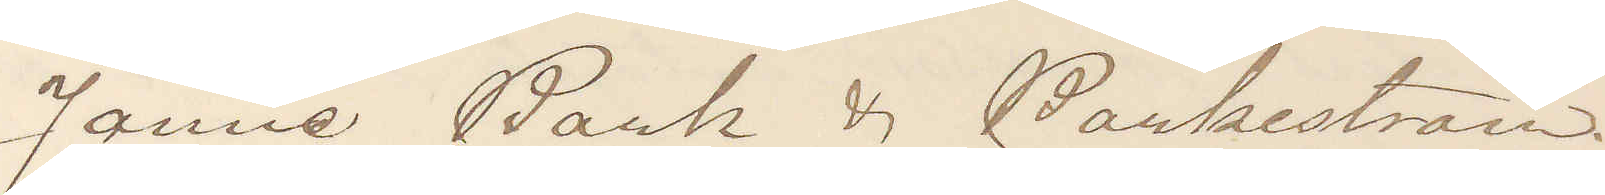Janne Bark & Barkeström.
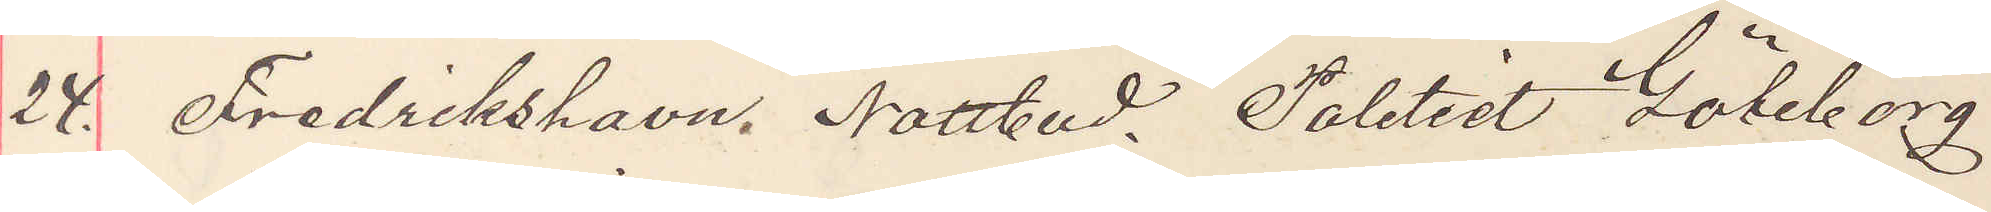24. Fredrikshavn. Nattbud. Politiet Göteborg.
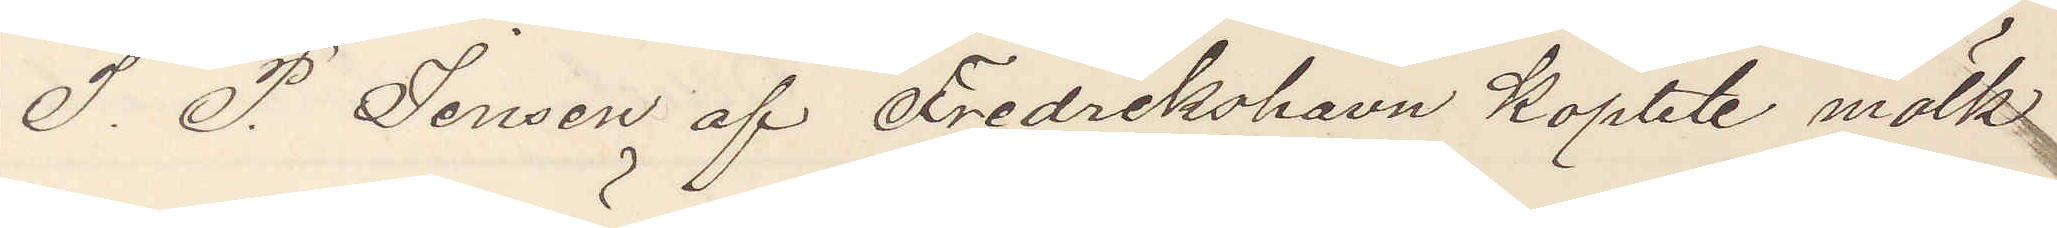I. P. Jensen af Fredrikshavn Köpbte mölk
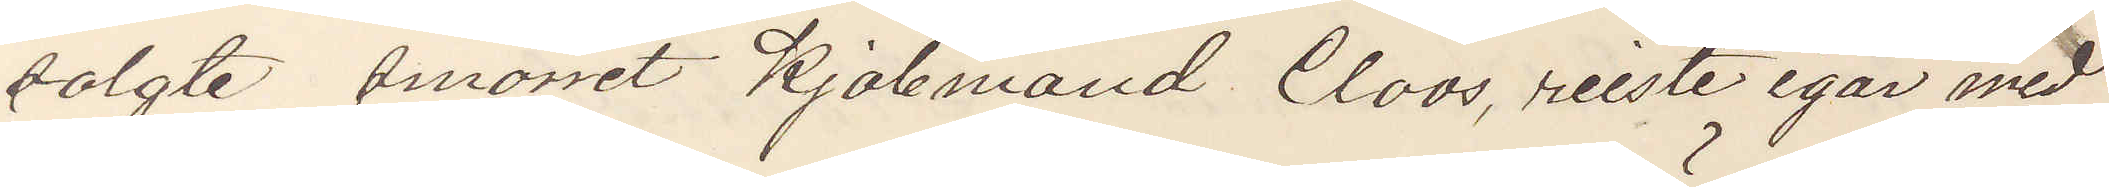solgte smörret Kjöbmand Cloos, reiste igår med
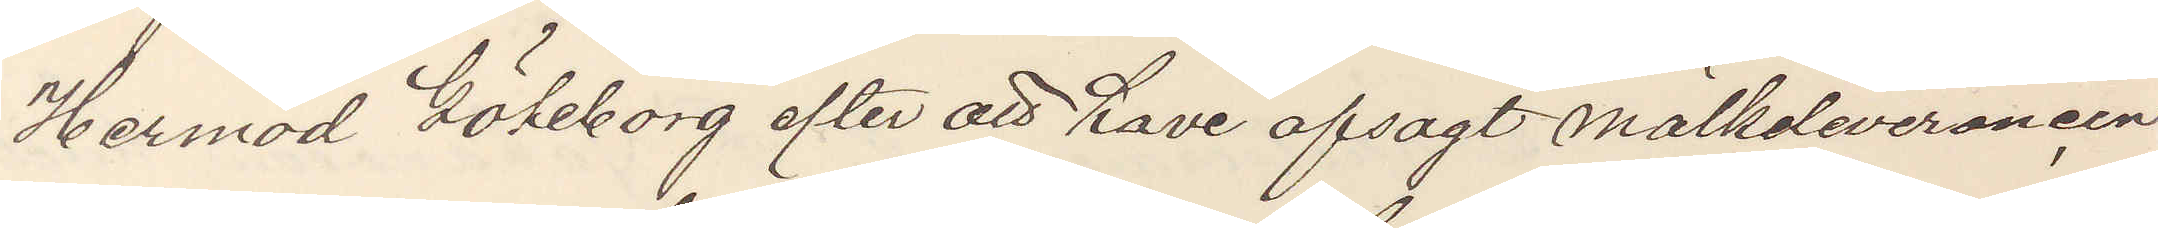Hermod Göteborg efter att have opsagt mölkeleveransen
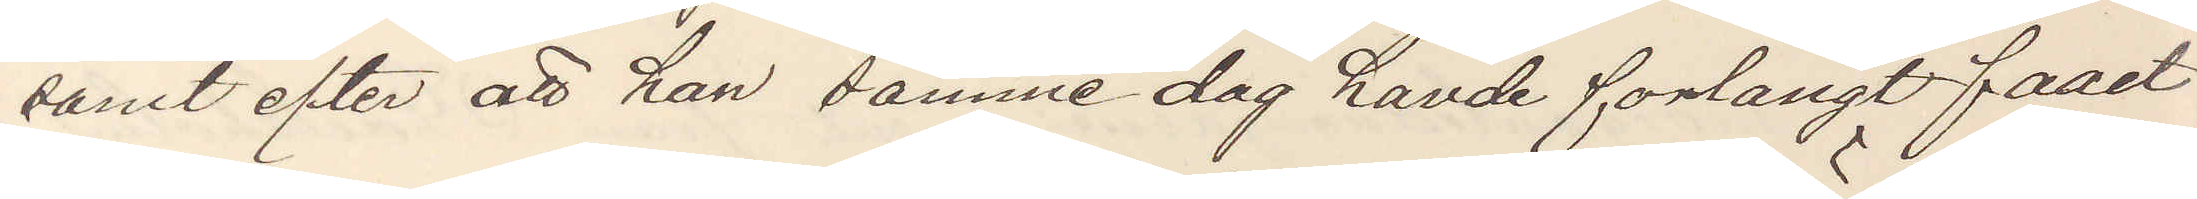samt efter att han samme dag havde forlangt faaet
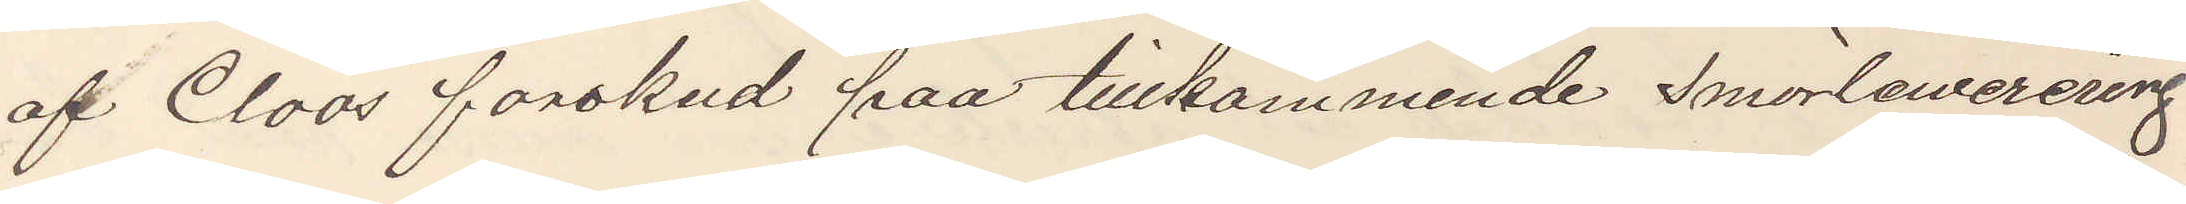af Cloos forskud paa tillkommende smörlewerering
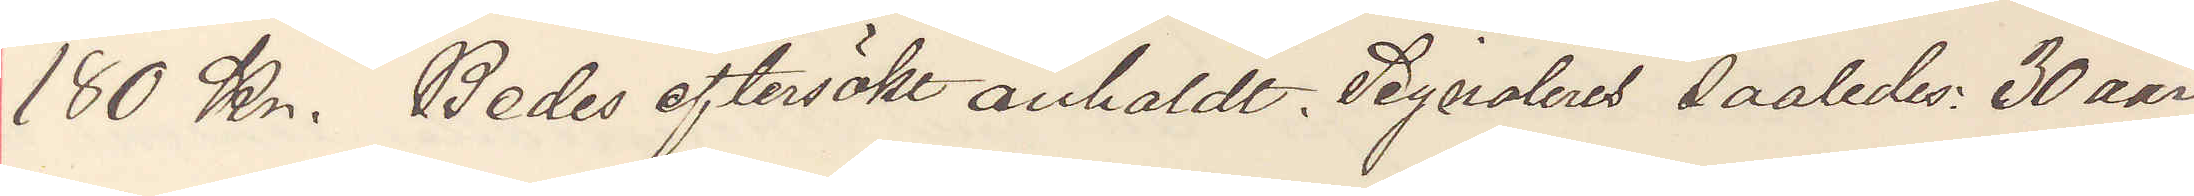180 Kr. Bedes eftersökt anholdt. Signaleres saaledes: 30 aar
